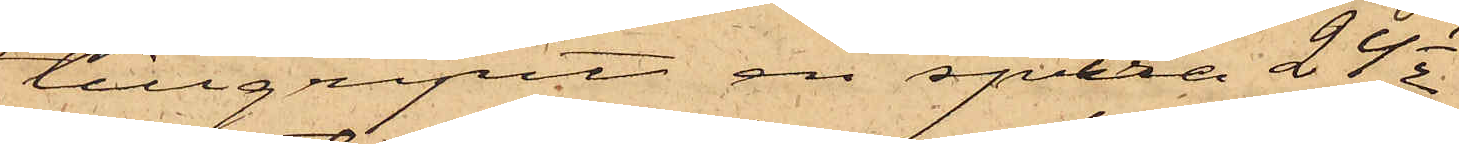tillgripit en spira 24 1/2
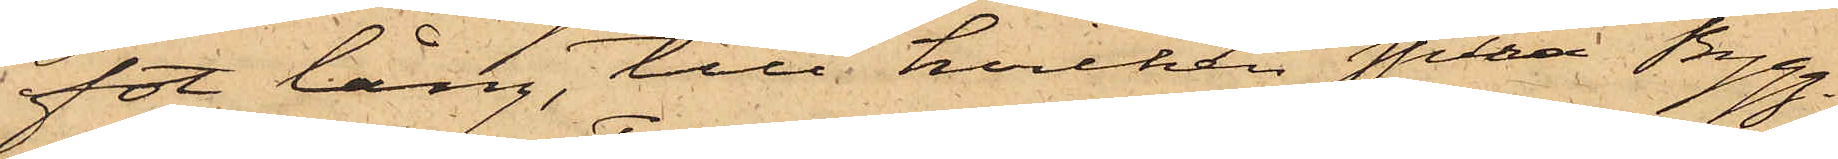fot lång, till hvilken spira Bygg¬
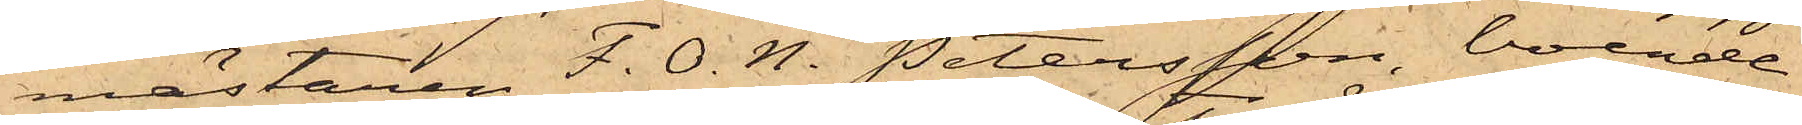mästaren F. O. N. Petersson, boende
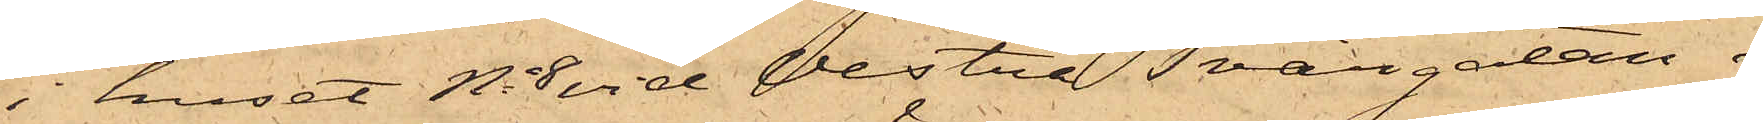i huset No 8 vid Vestra Tvärgatan i
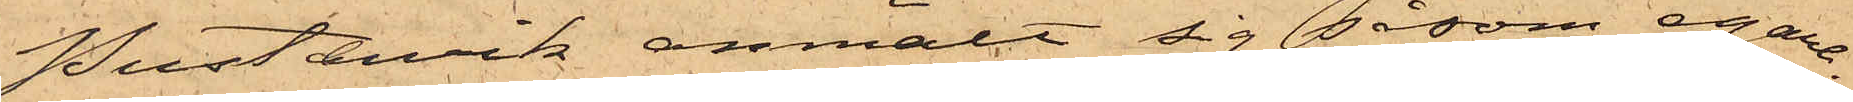Pustervik anmält sig såsom egare.
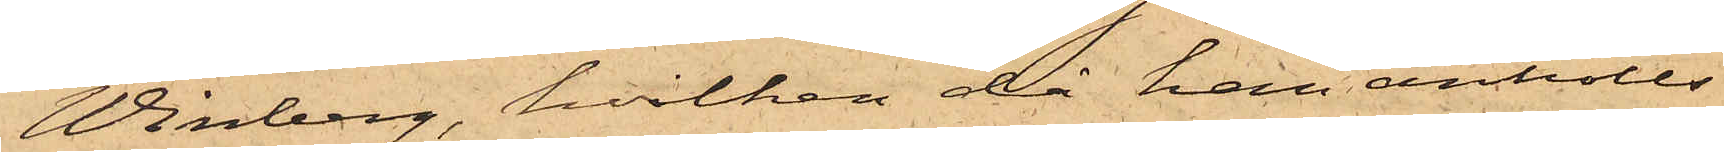Winberg, hvilken då han anhölls
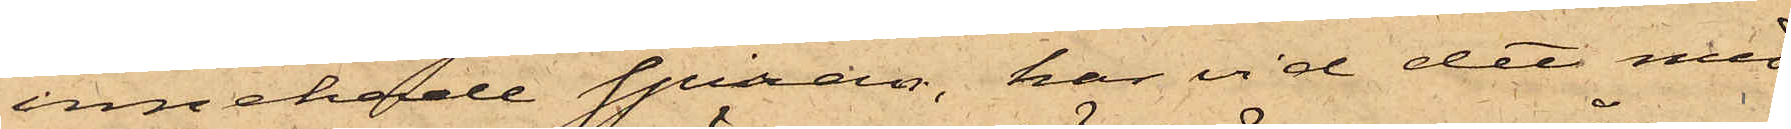innehade spiran, har vid det med
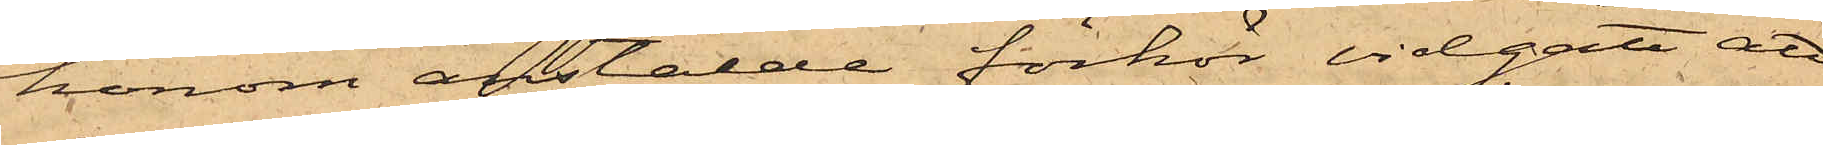honom anstälde förhör vidgått att
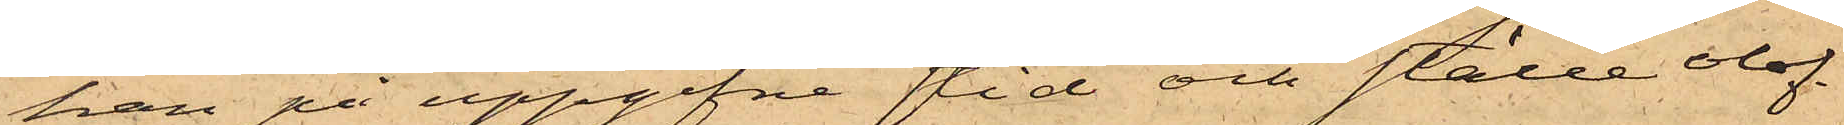han på uppgifne tid och ställe olof¬
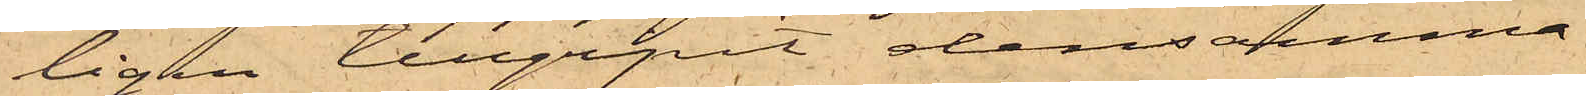ligen tillgripit densamma.
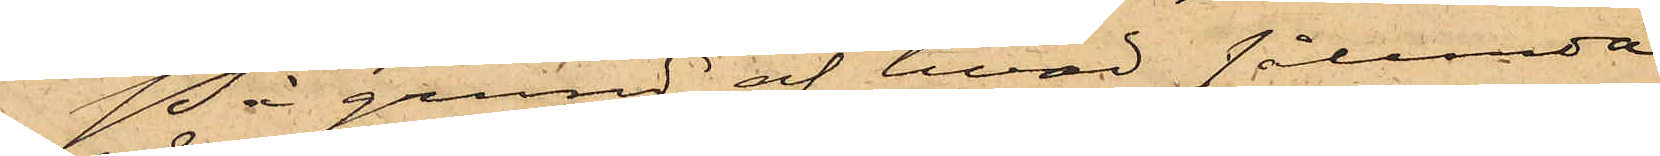På grund af hvad sålunda
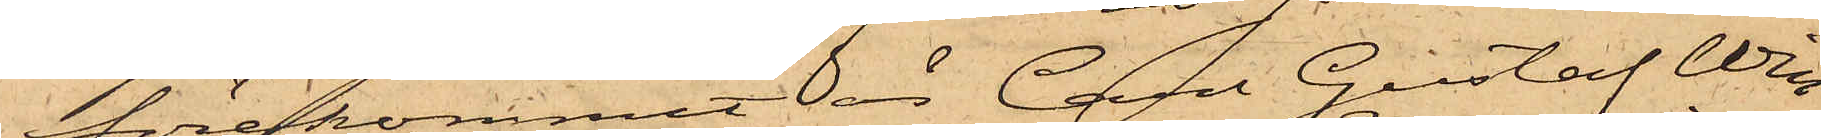förekommit är Carl Gustaf Win¬
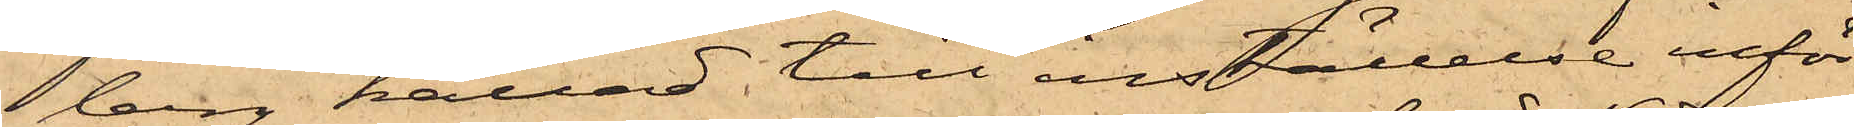berg kallad till inställelse inför
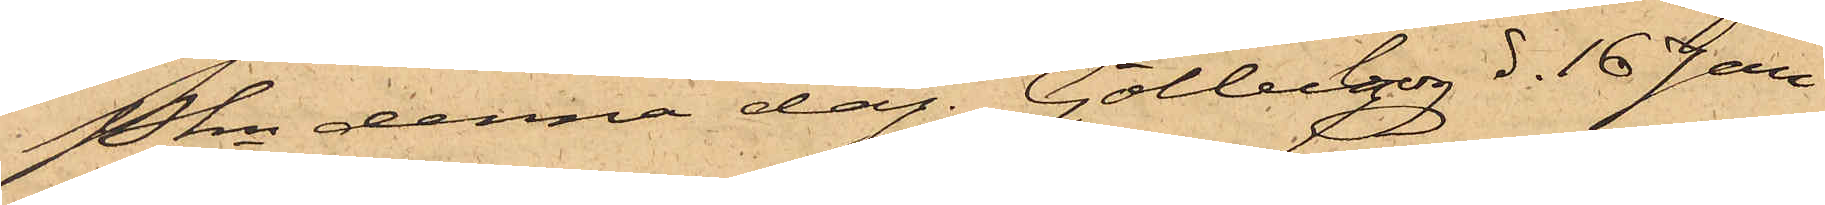Pkn denna dag. Götheborg d. 16 Jan
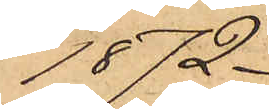1872.
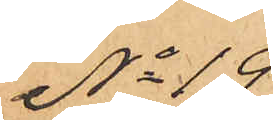No 19
